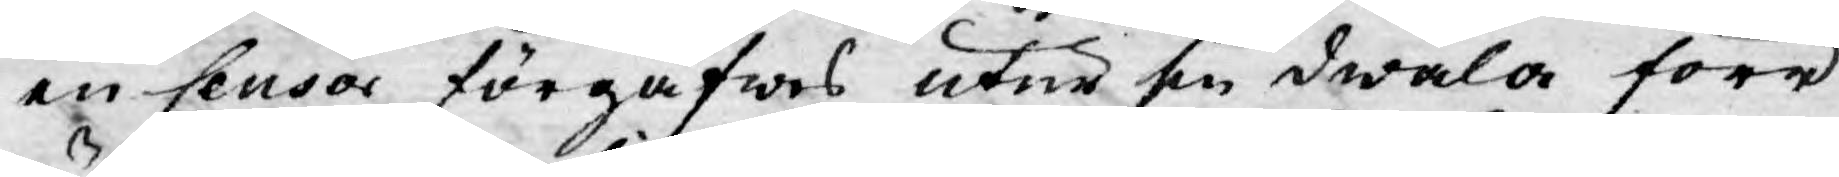en Censor förgäfwes utur sin dwala förr
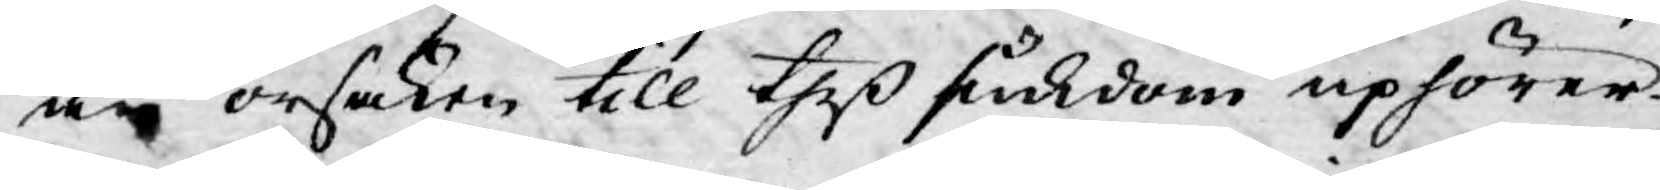än orsaken till theß siukdom uphörer.
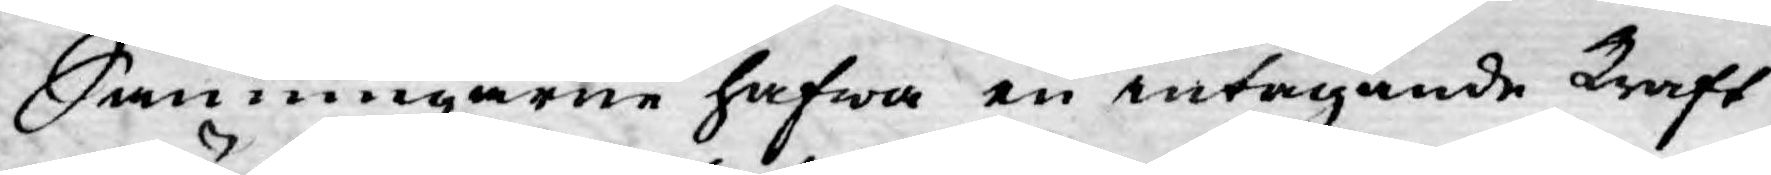Sanningarne hafwa en intagande kraft
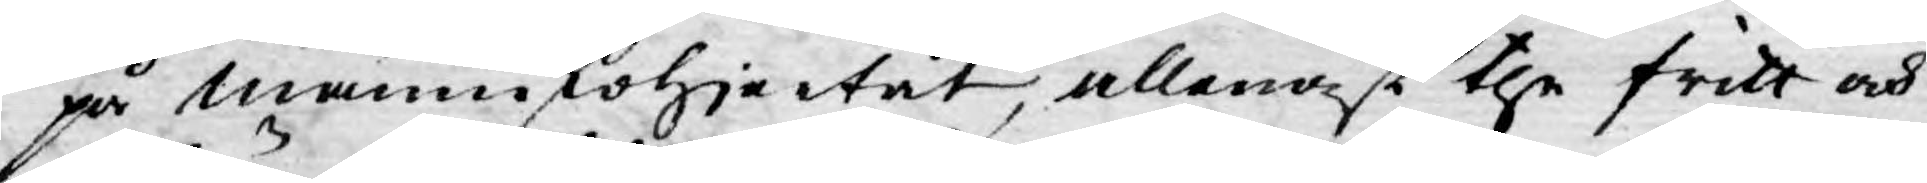på männniskohjertat, allenast the fritt och
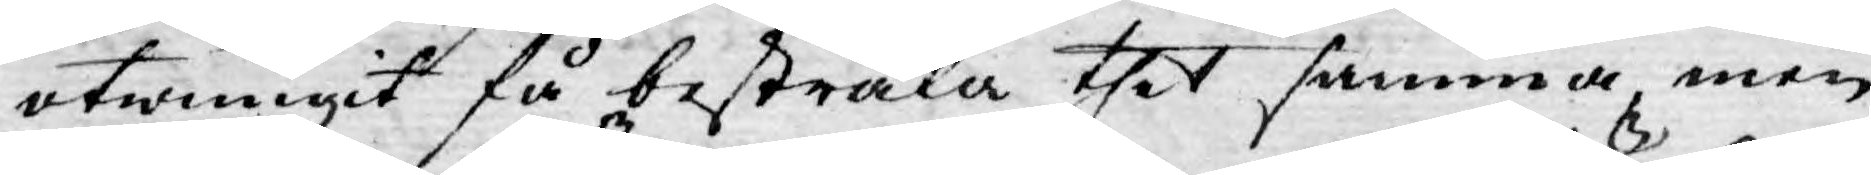otwungit få bestråla thet samma, men
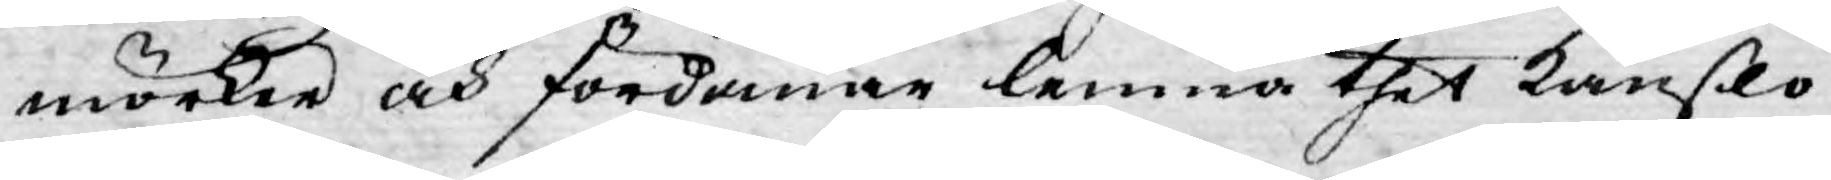mörker och fördomar lemna thet känßlo¬
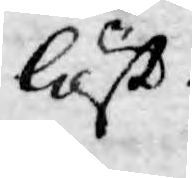löst.
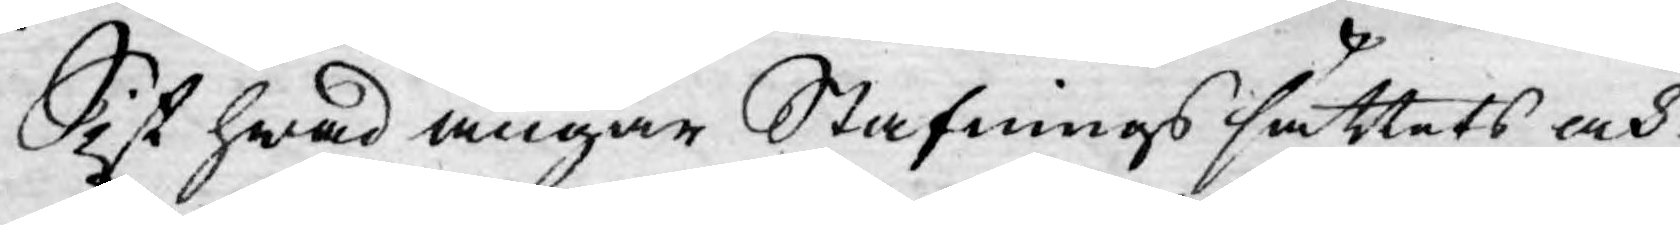Sist hwad angår Stafningssättets och
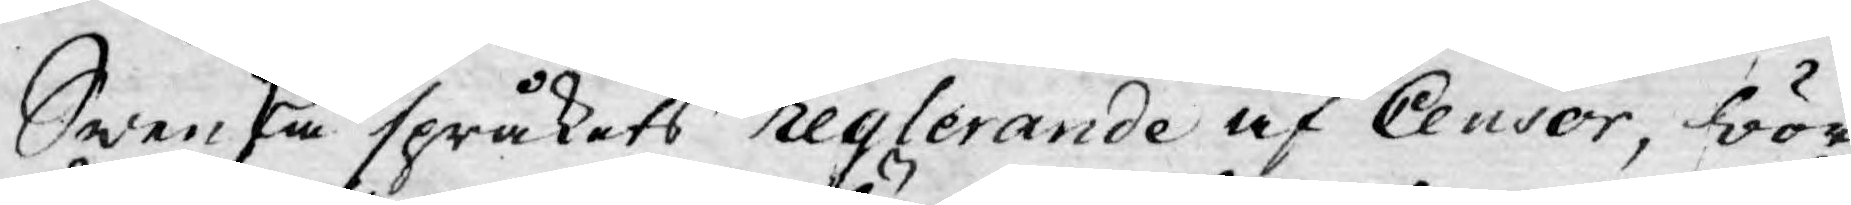Swenska språkets reglerande af Censor, bör
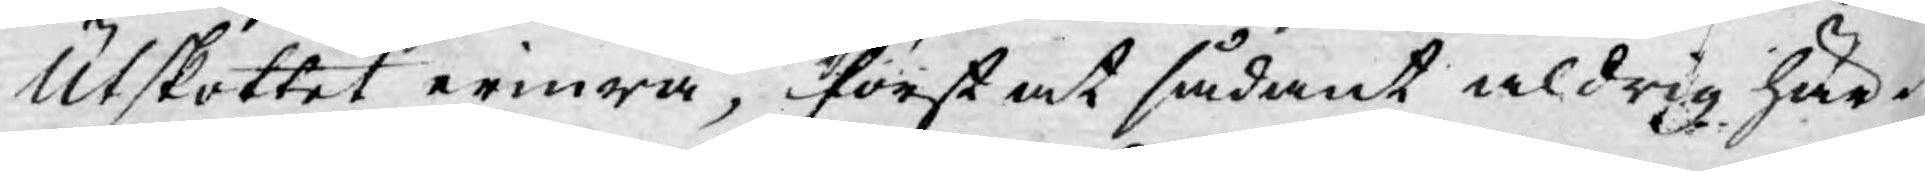Utskottet erinra, först at sådant aldrig här¬
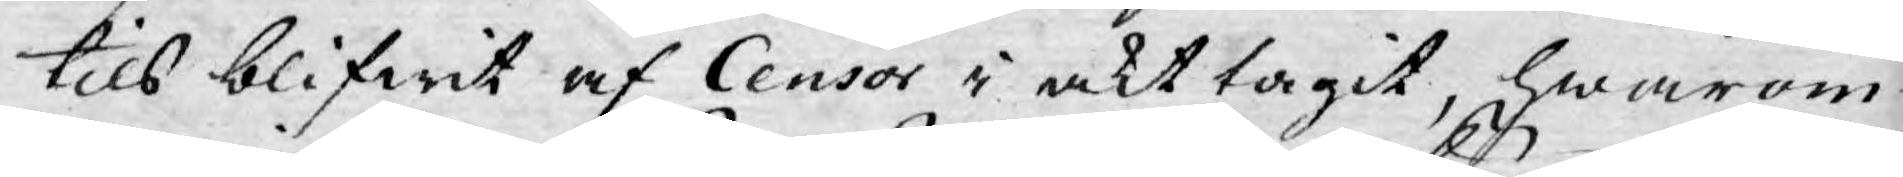tils blifwit af Censor i akt tagit, hwarom
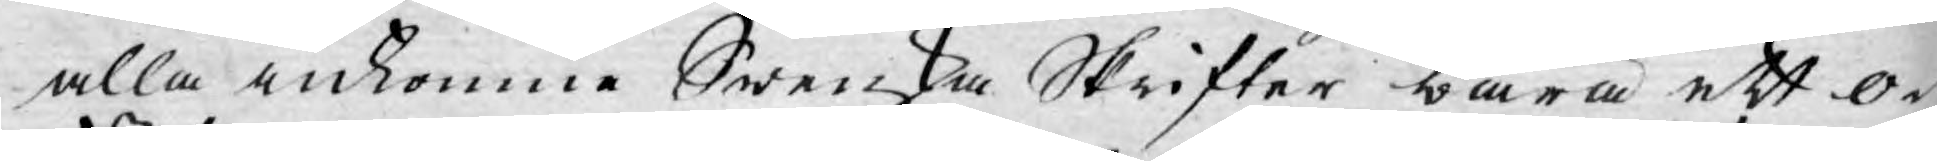alla inkomne Swenska Skrifter bära ett o¬
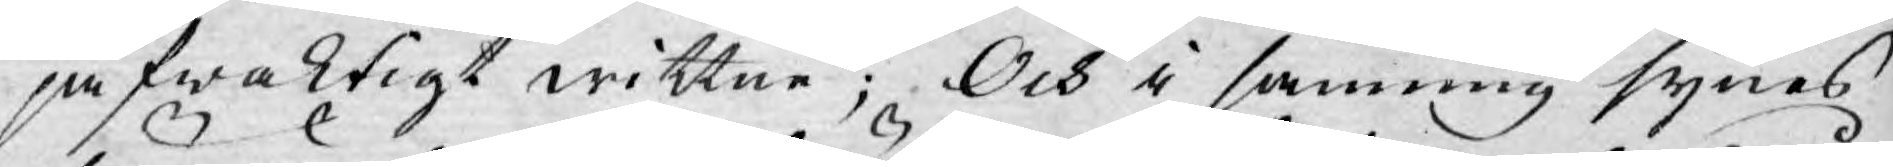jäfwaktigt wittne; Och i sanning synes
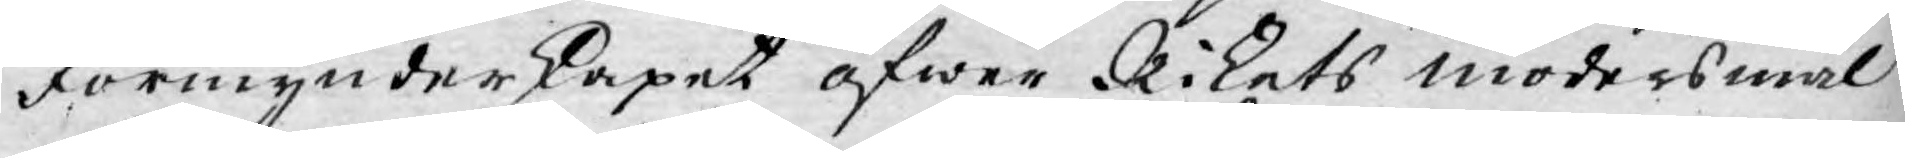Förmynderskapet öfwer Rikets modersmål
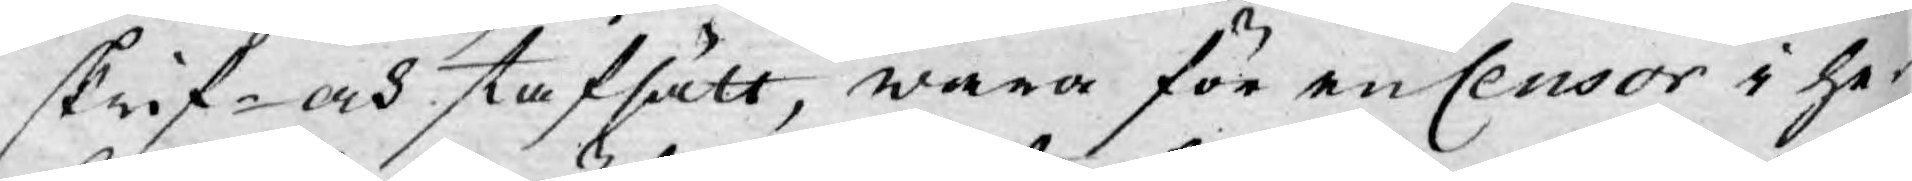skrif- och stafsätt, wara för en Censor i he¬
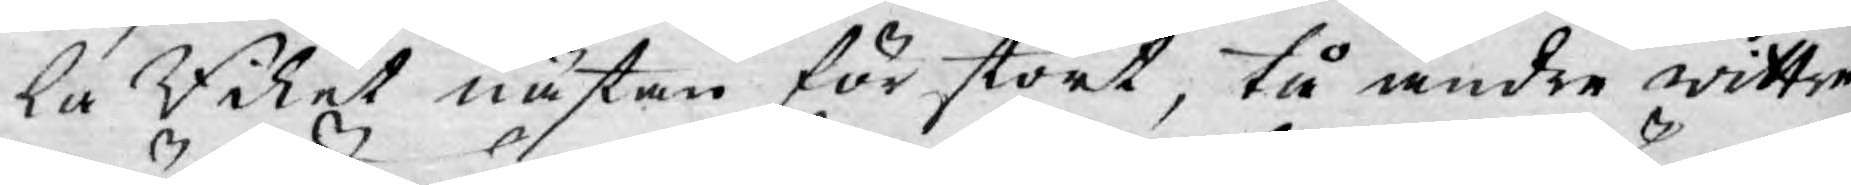la Riket nästan för stort, tå andre wittre
